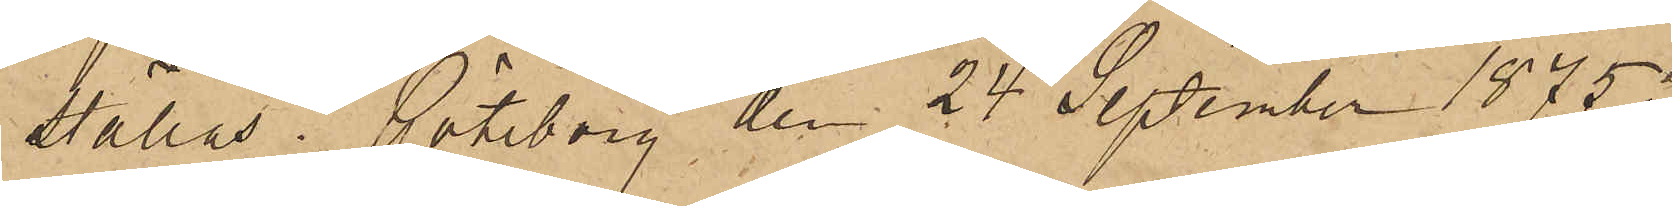ställas. Göteborg den 24 September 1875.
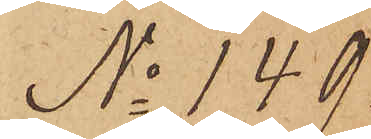No 149.
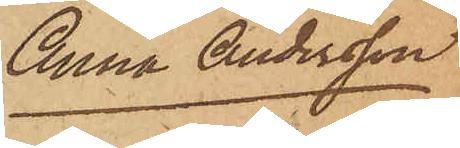Anna Andersson
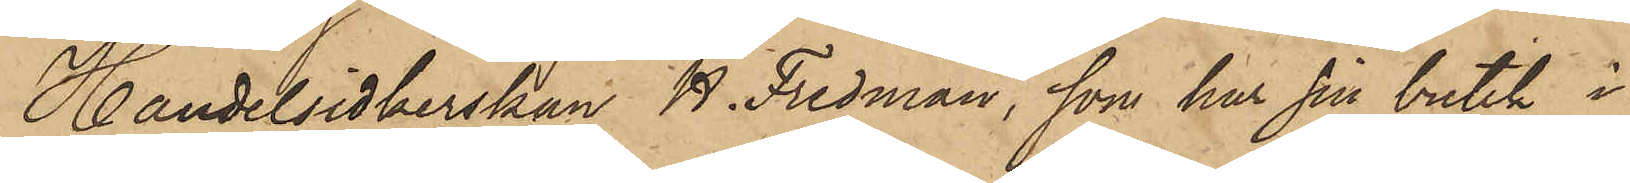Handelsidkerskan R. Fridman, som har sin butik i
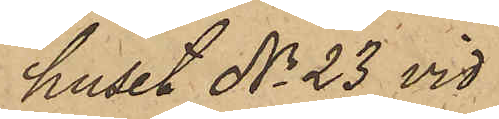huset No 23 vid
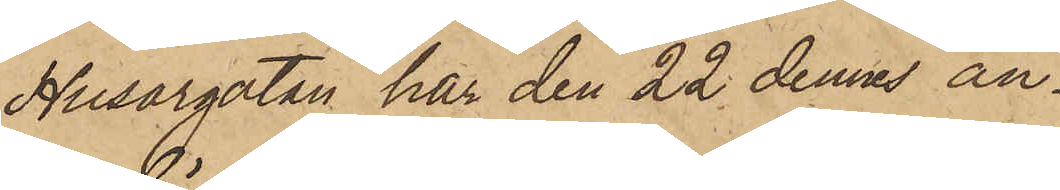Husargatan har den 22 dennes an¬
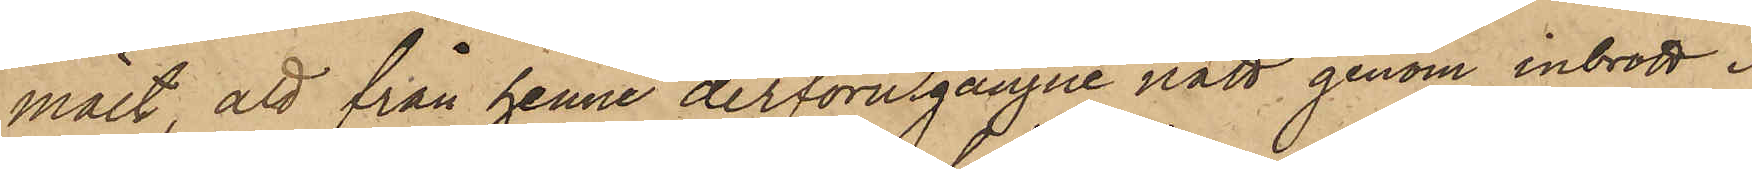mält, att från henne derförutgångne natt genom inbrott i
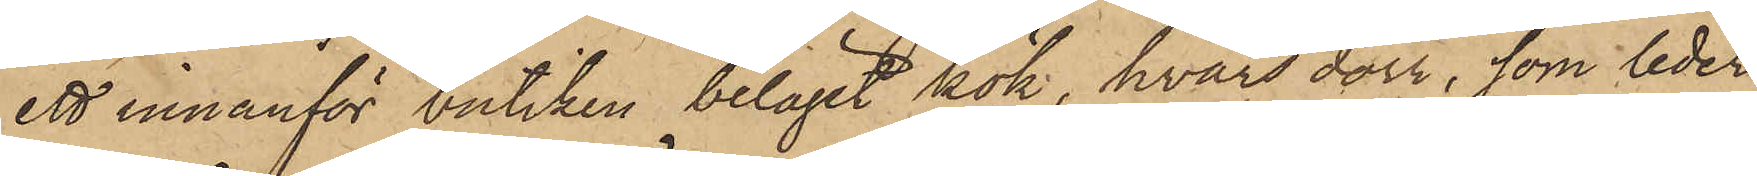ett innanför butiken beläget kök, hvars dörr, som leder
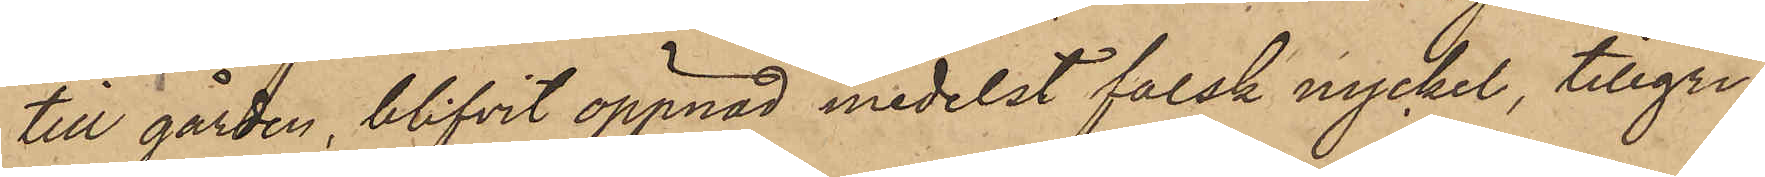till gården, blifvit öppnad medelst falsk nyckel, tillgri¬
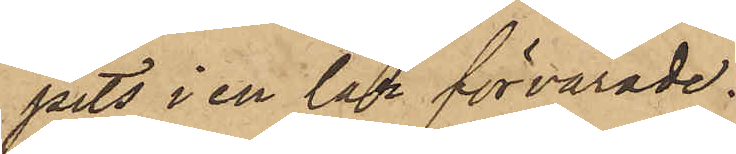pits i en lår förvarade:
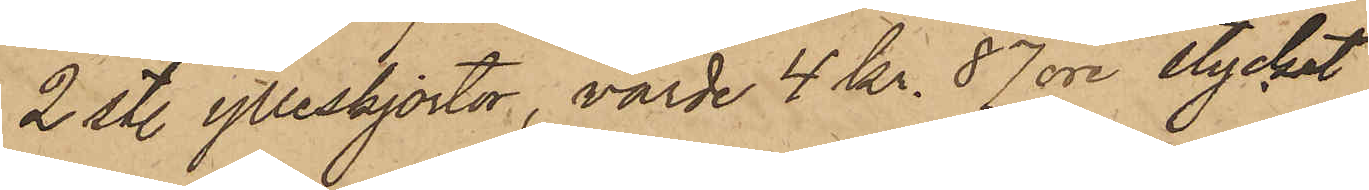2 st. ylleskjortor, värde 4 Kr. 87 öre stycket
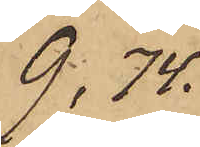9, 74.
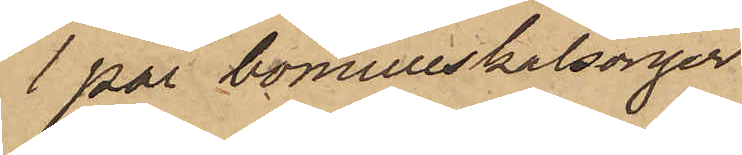1 par bomullskalsonger
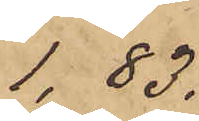1,83.
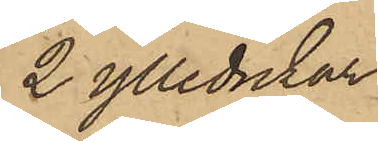2 ylledukar
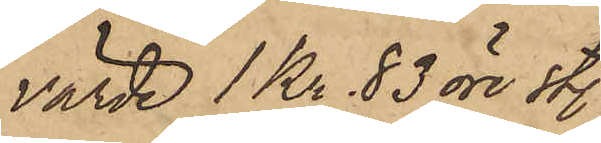värde 1 Kr. 83 öre st.
